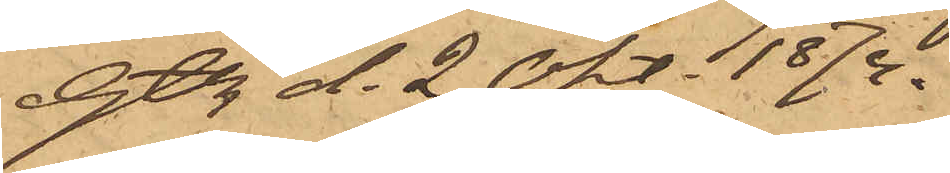Gtbg d. 2 Okt 1874.
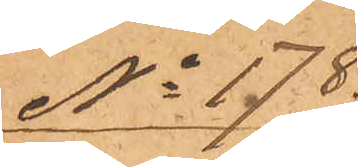No 178.
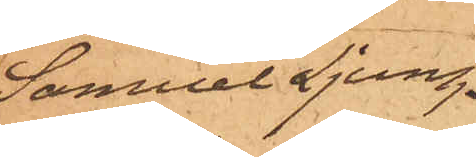Samuel Ljung¬
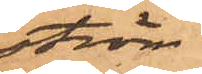ström.
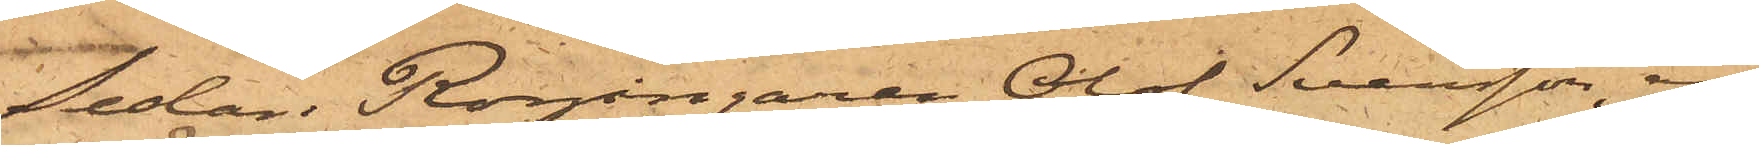Sedan Rorgängaren Olof Svensson, an¬
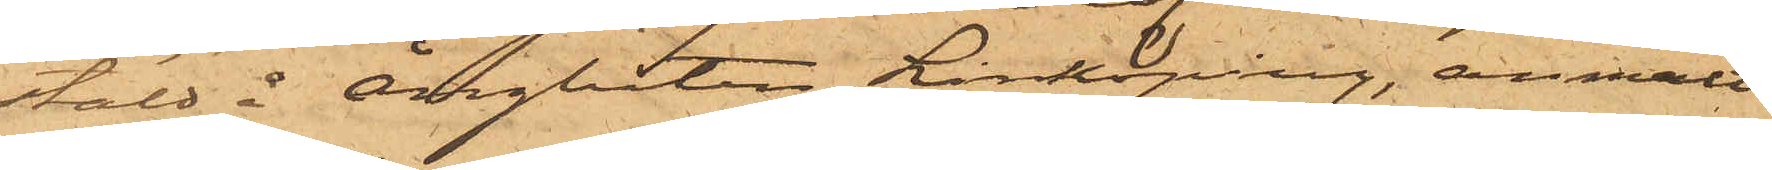stäld å Ångbåten Linköping, anmält
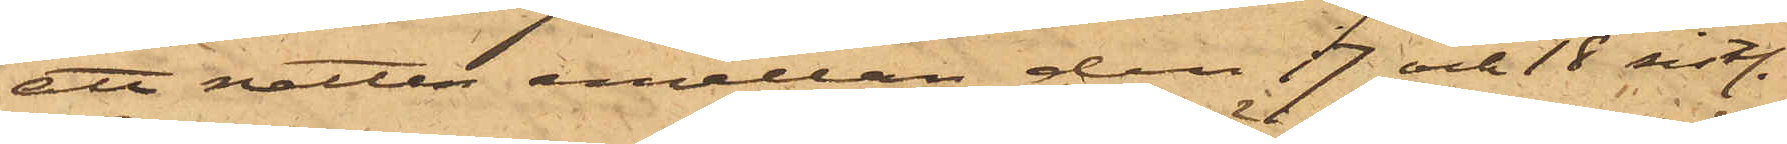att natten emellan den 17 och 18 sist.
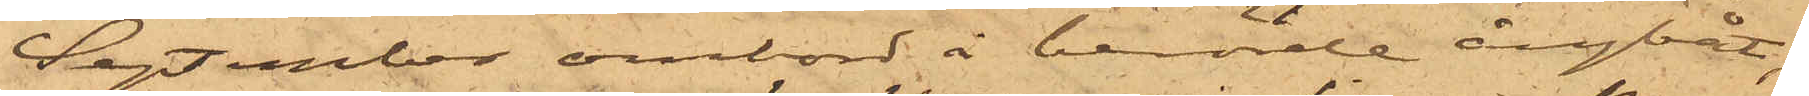September ombord å berörde ångbåt,
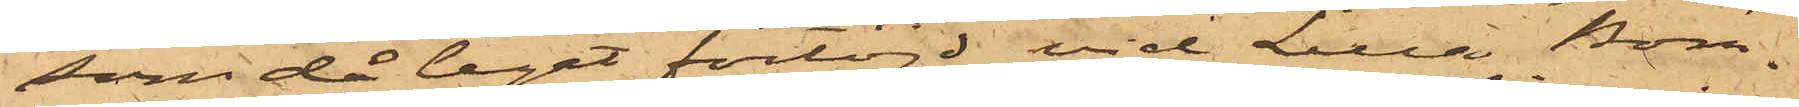som då legat förtöjd vid Lilla Bom¬
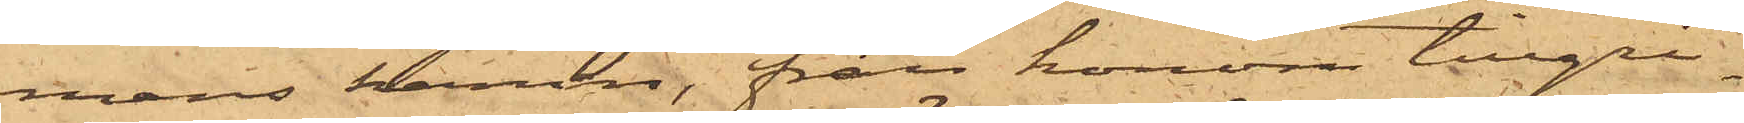mens hamn, från honom tillgri¬
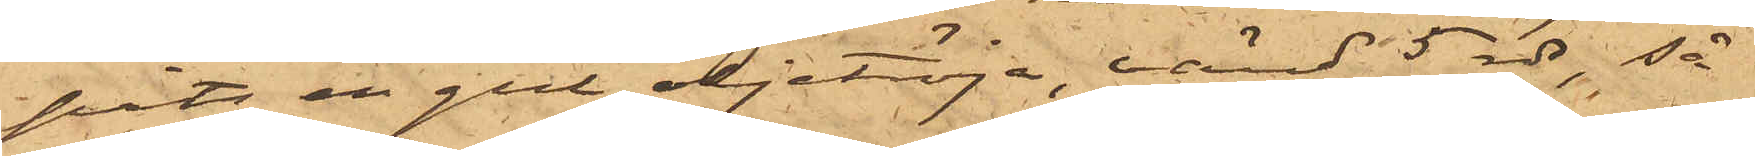pits en gul oljetröja, värd 5 rdr, så
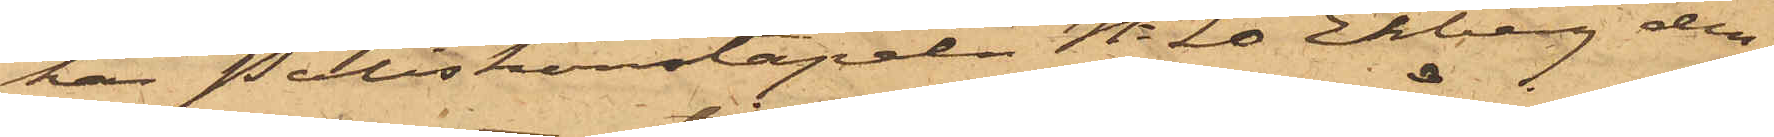har Poliskonstapeln No 20 Ekberg den
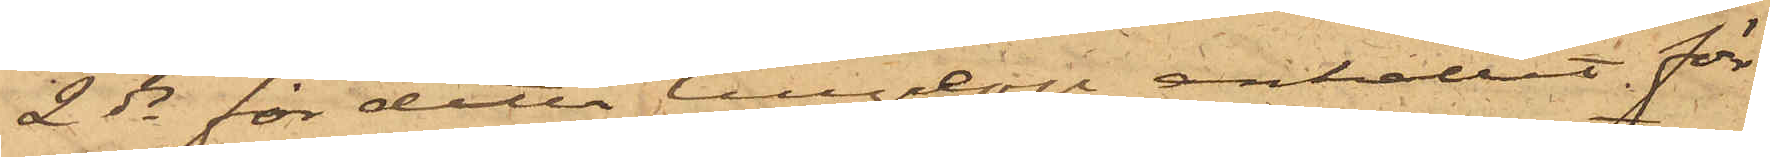2 ds för detta tillgrep anhållit för
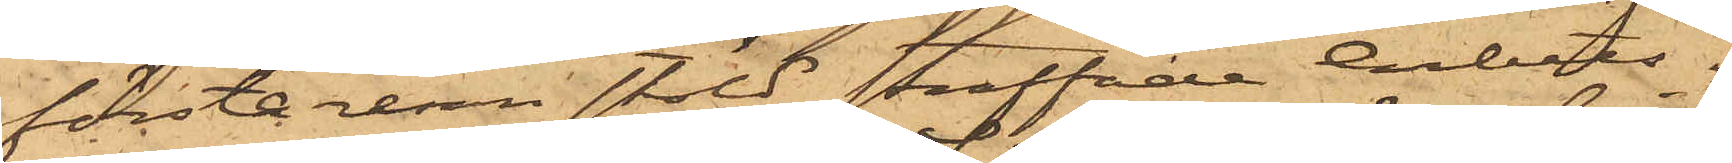första resan stöld straffade Arbets¬
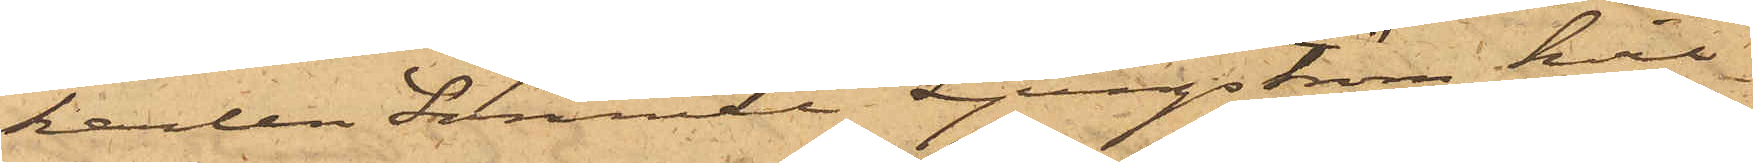karlen Samuel Ljungström, hvil¬
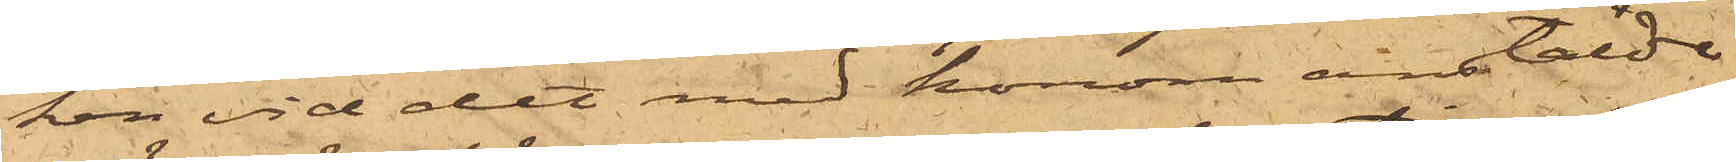ken vid det med honom anstälde
